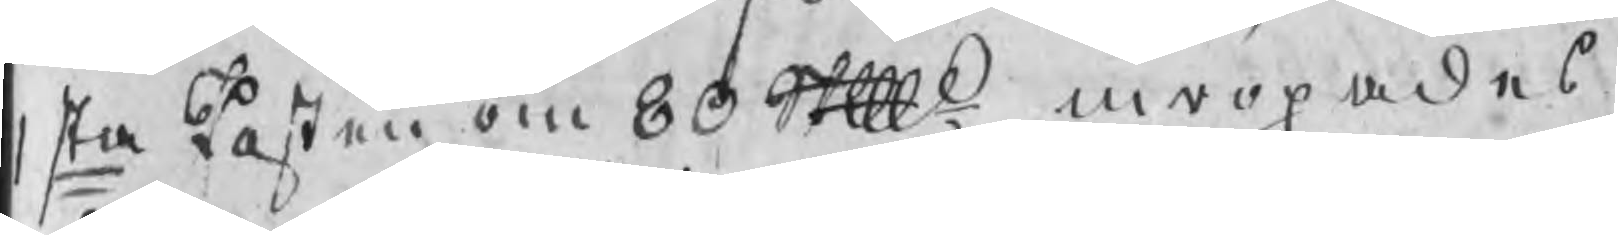1sta Posten om 80 Skpd inropades
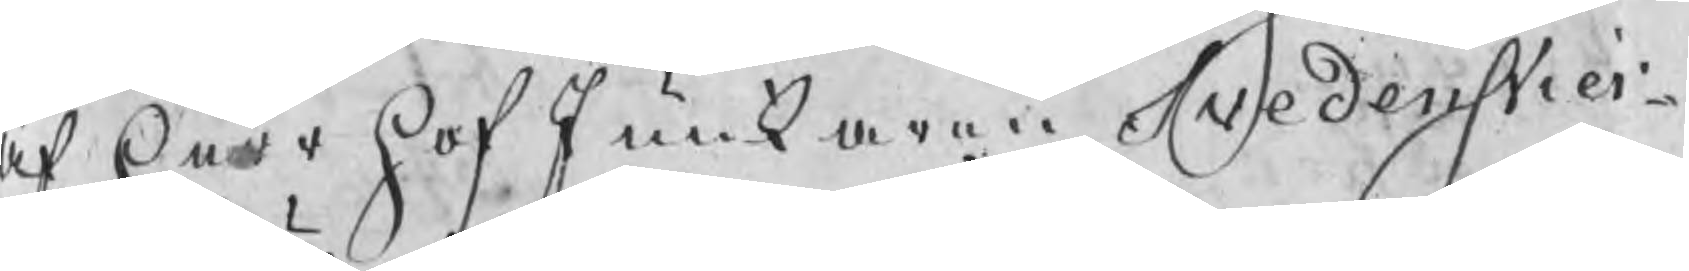af Herr HofJunkaren Svedenstier¬
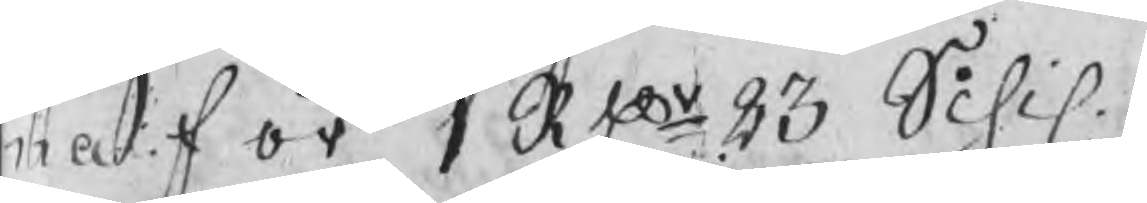na för 1 RDr 23 Schil 
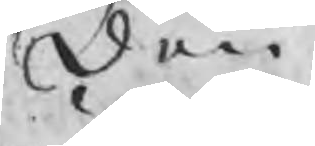Den
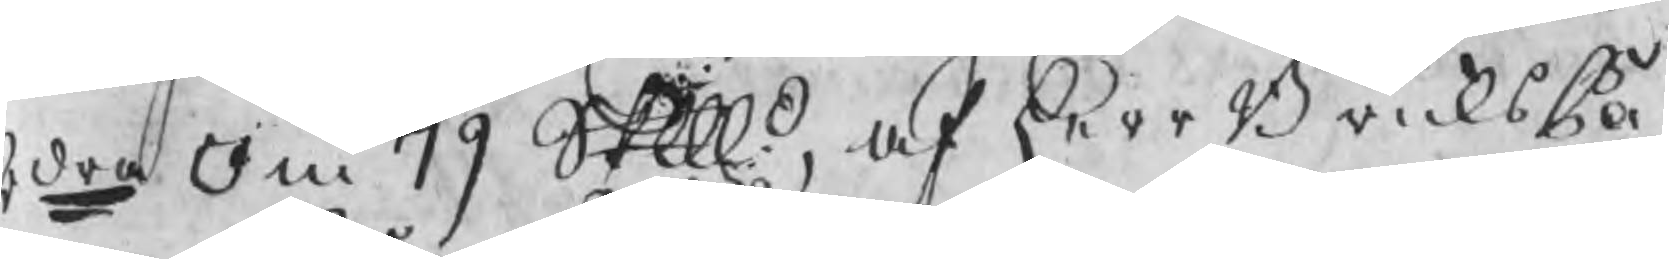2dra om 79 Skpd, af Herr BruksPa¬
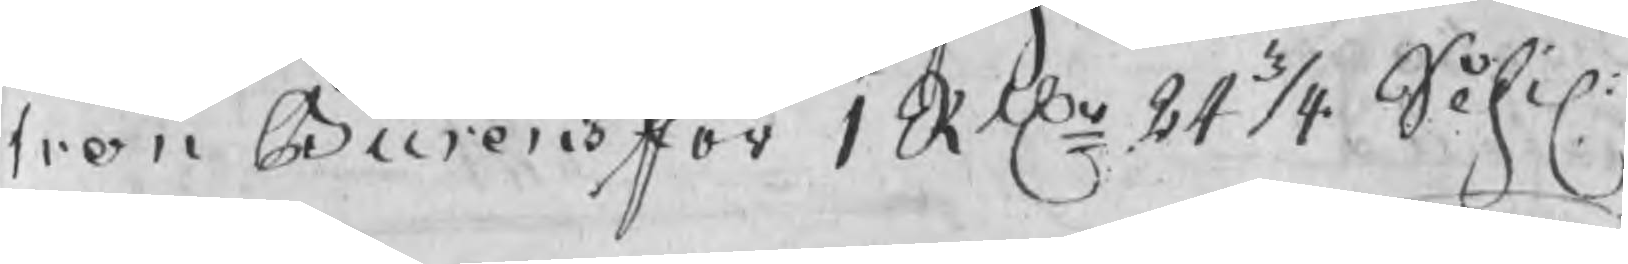tron Burens för 1 Rdr 24 1/4 Schil
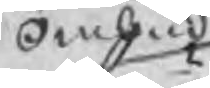Ombud
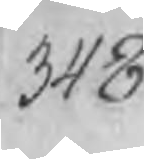348
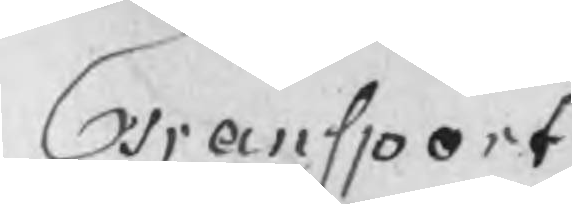Transport
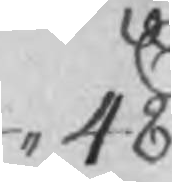,, 48
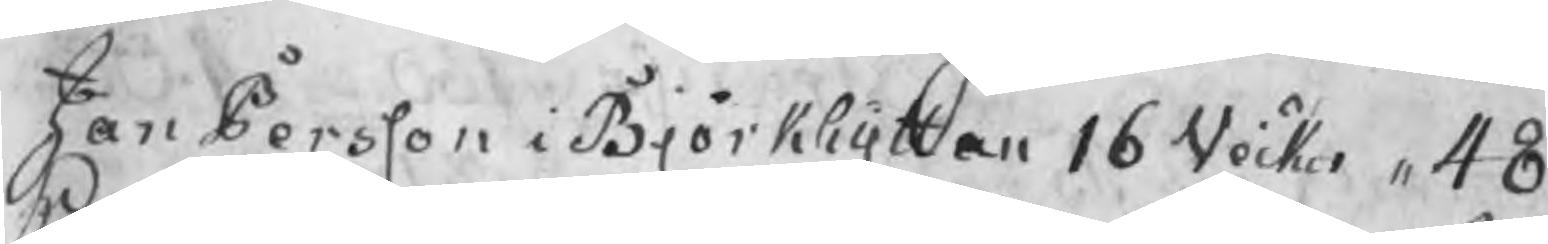Jan Persson i Björkhyttan 16 Veckor ,, 48
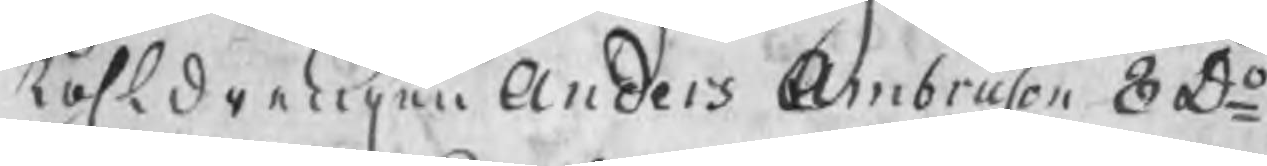Kohldrengen Anders Ambruson 8 Do
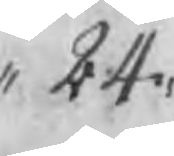,, 24
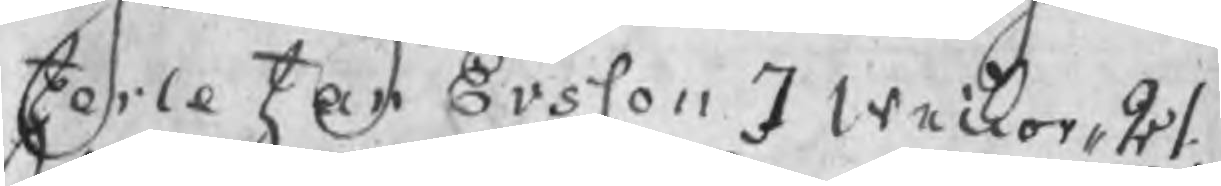Jerle Jan Ersson 7 weckor ,, 21
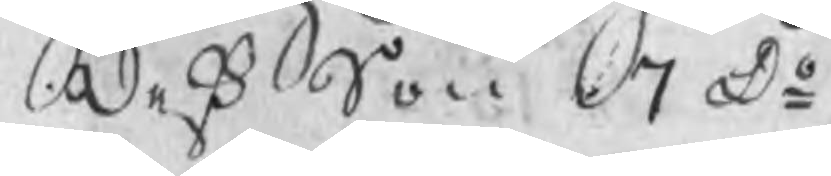deß Son 7 Do
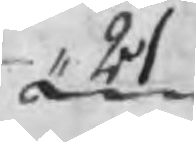,, 21
